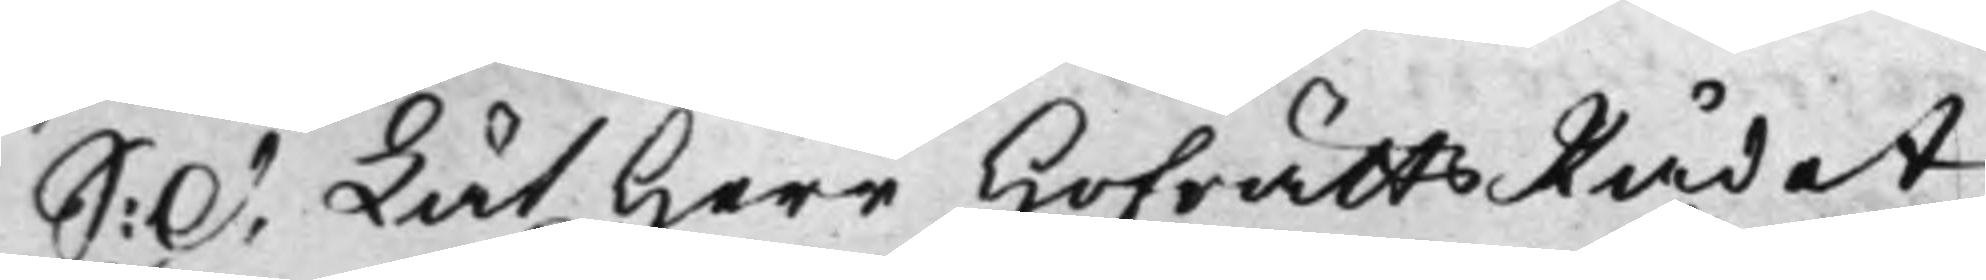S: d. Lät Herr HofrättsRådet
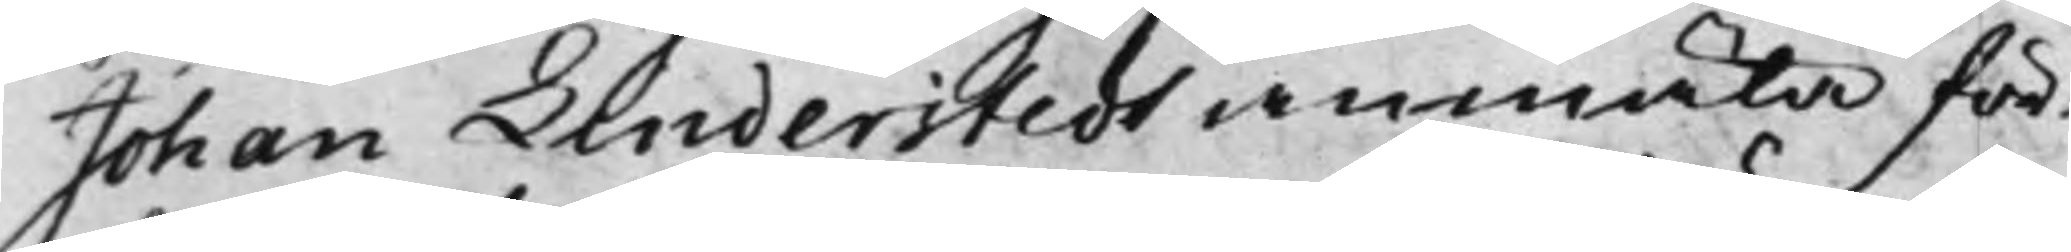Johan Linderstedt anmäla för¬
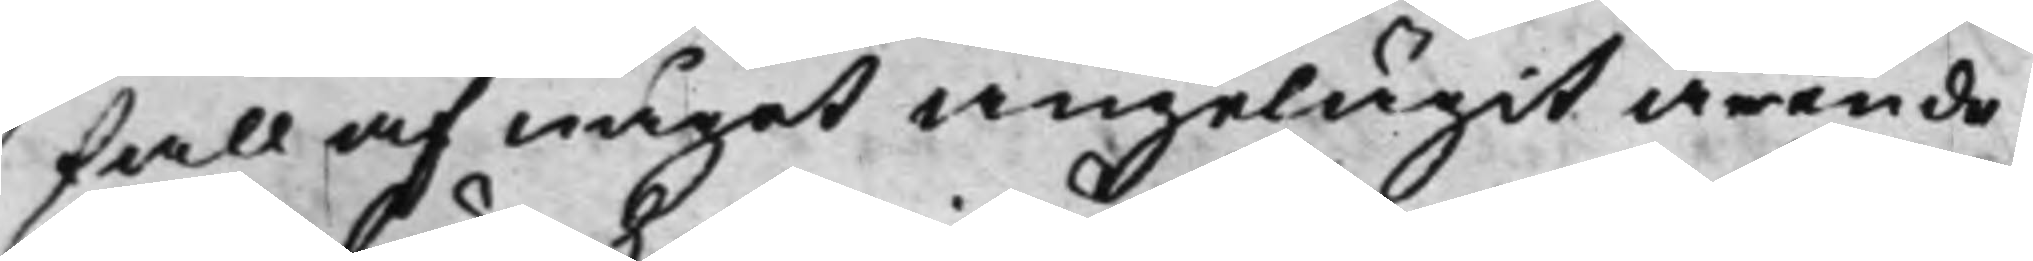fall af något angelägit ärende,
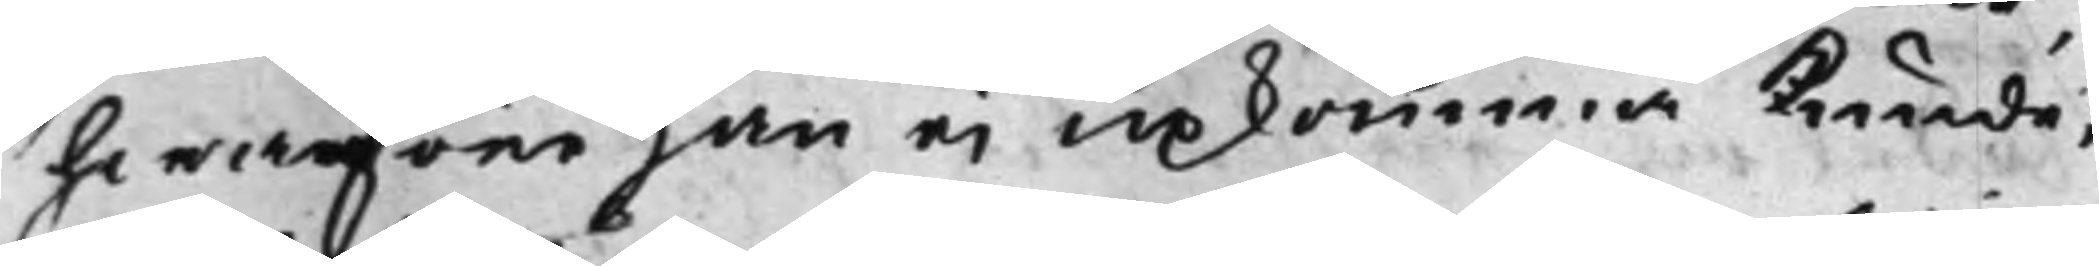hwarföre han ei upkomma kunde.
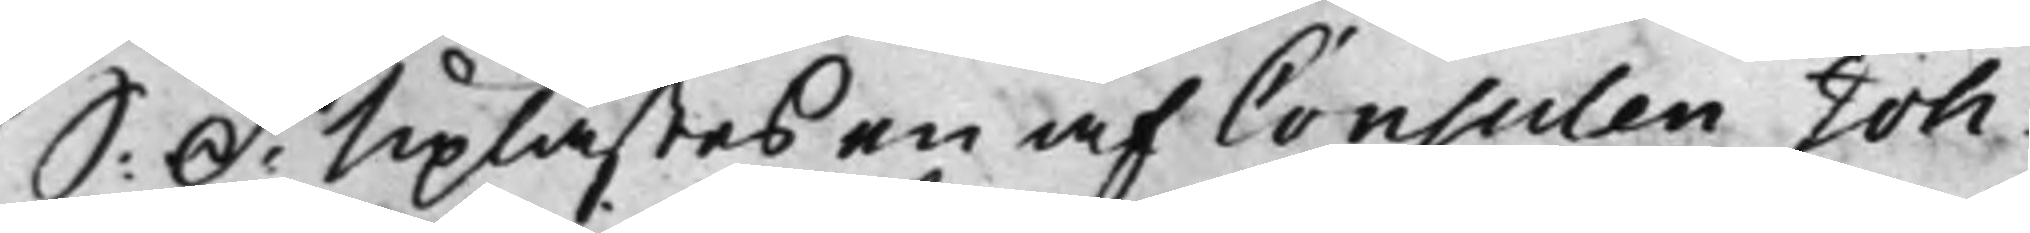S: D: Uplästes en af Consulen Joh.
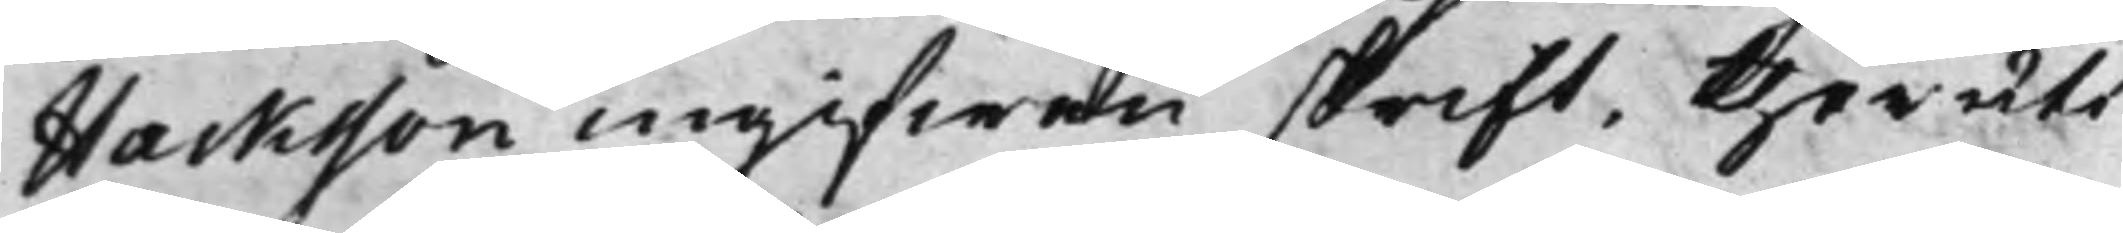Hacksson ingifwen skrift, theruti
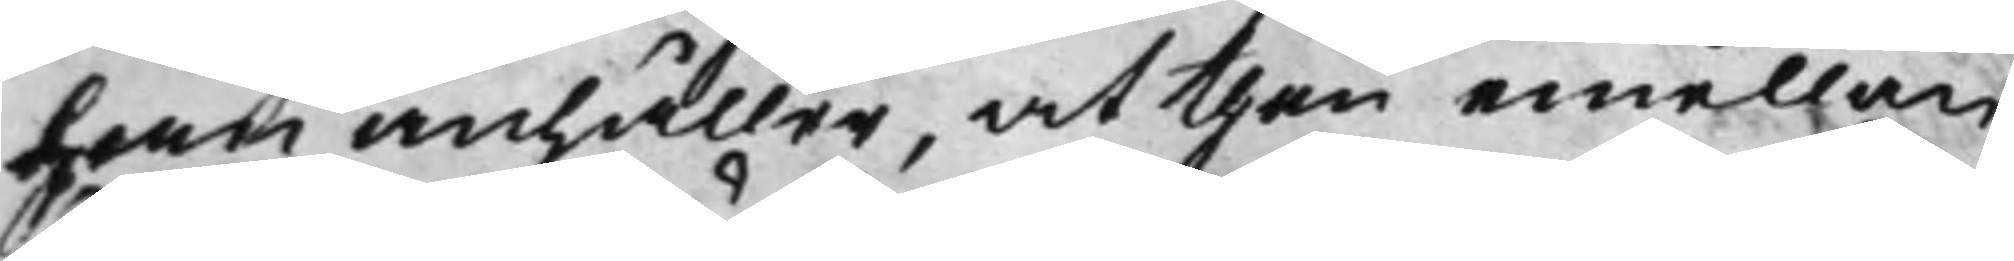han anhåller, at then emellan
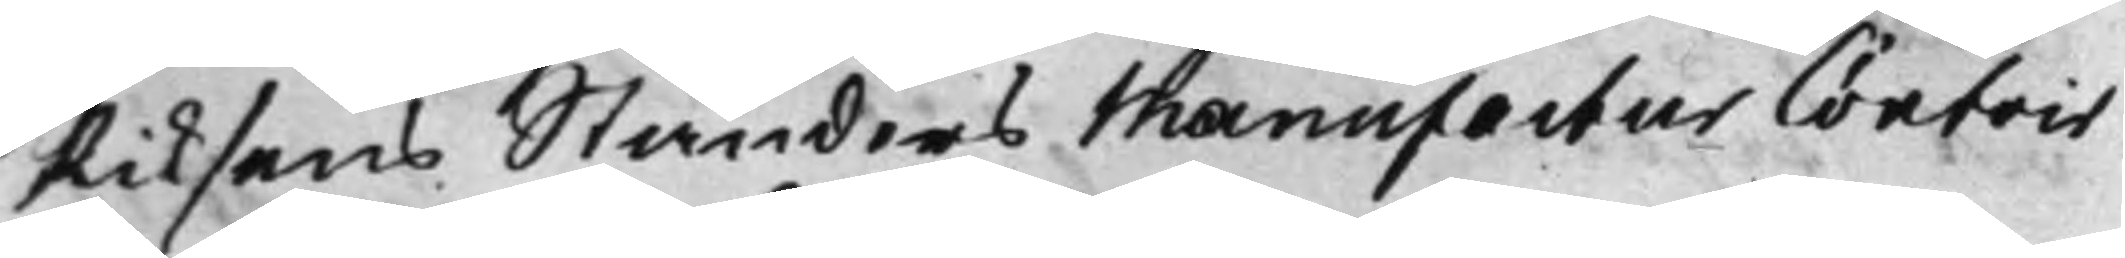Riksens Ständers Manufactur Contoir
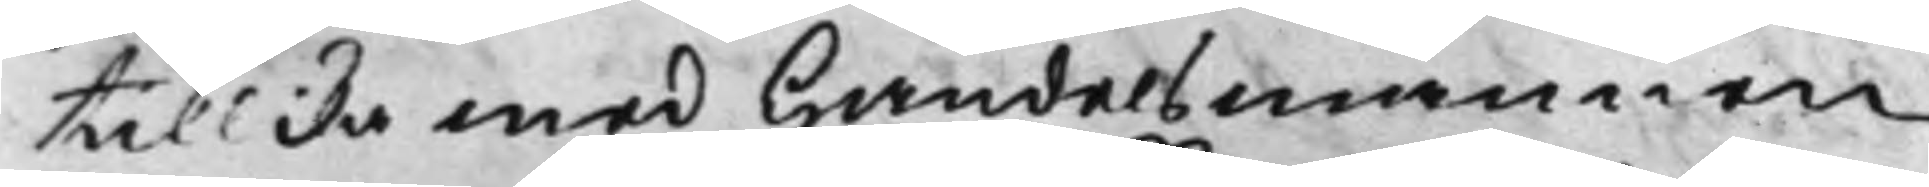tillika med Handelsmannen
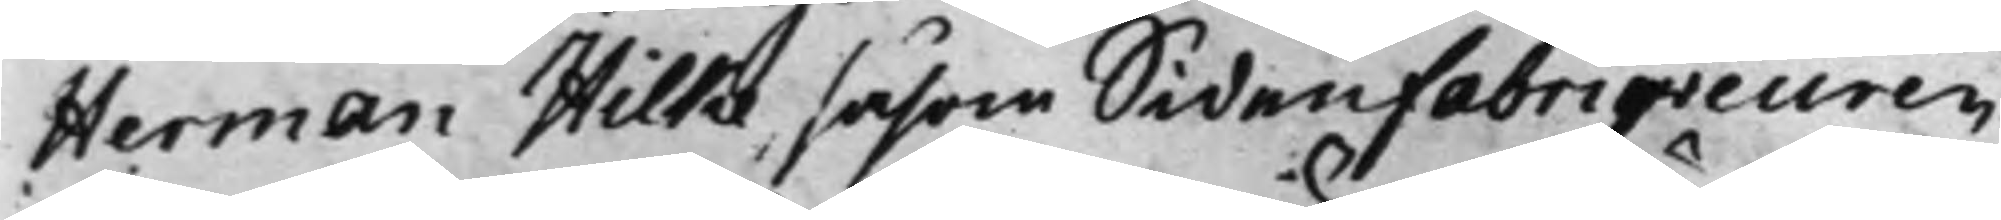Herman Hilke såsom Sidenfabriqveuren
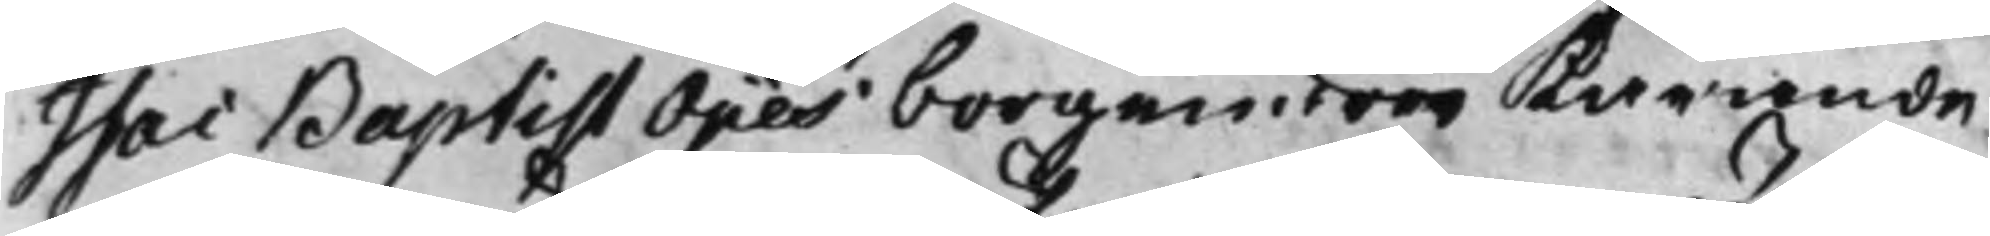Isac Baptist Ojies borgenärer Kärande
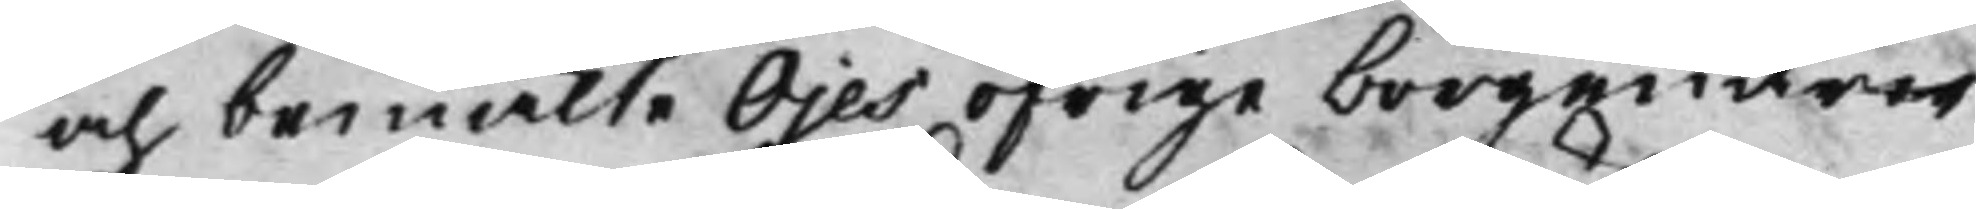och bemälte Ojes öfrige borgenärer
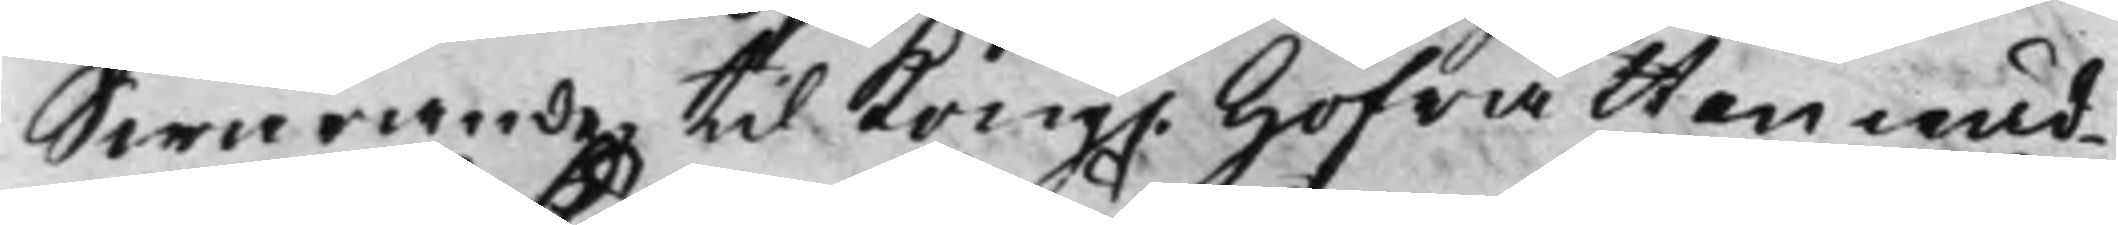Swarande, til Kong. Hofrätten wäd¬
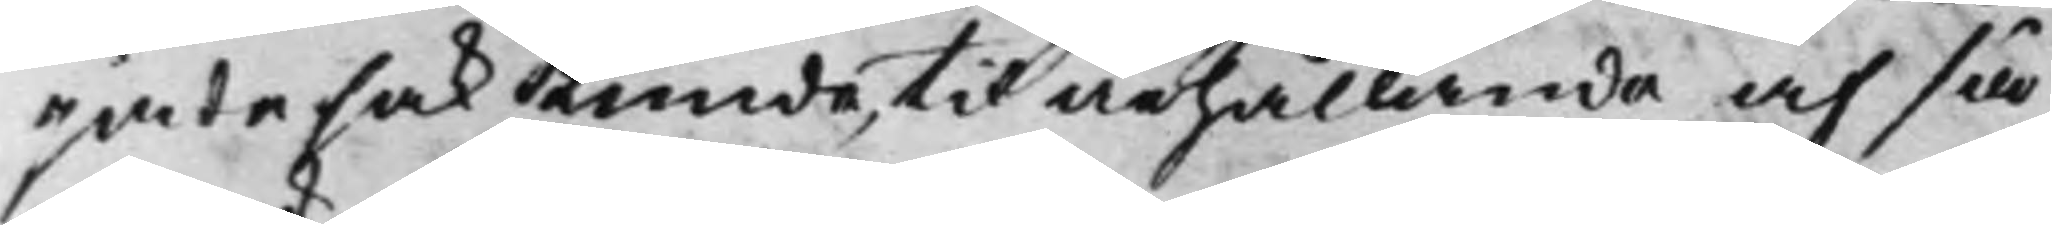jade sak Kunde, til ärhållande af så
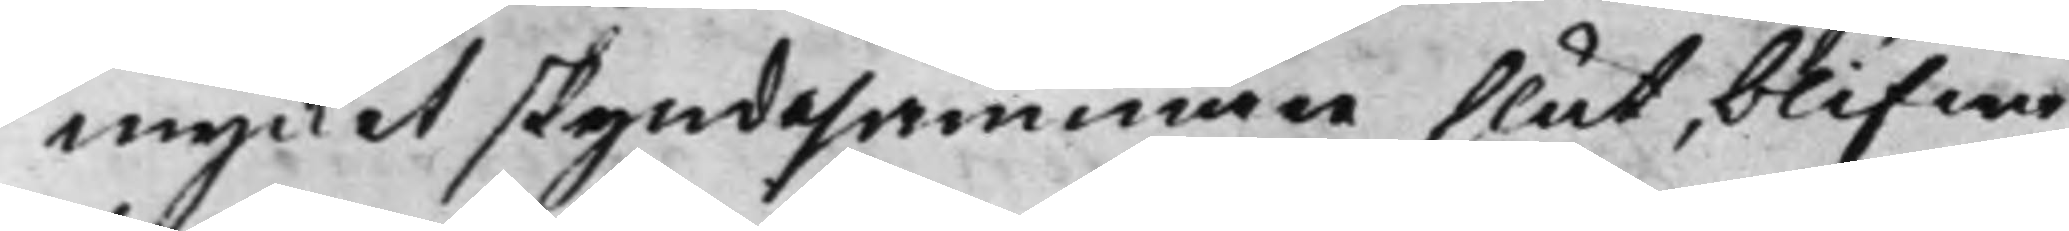mycket skyndesammare slut, blifwa
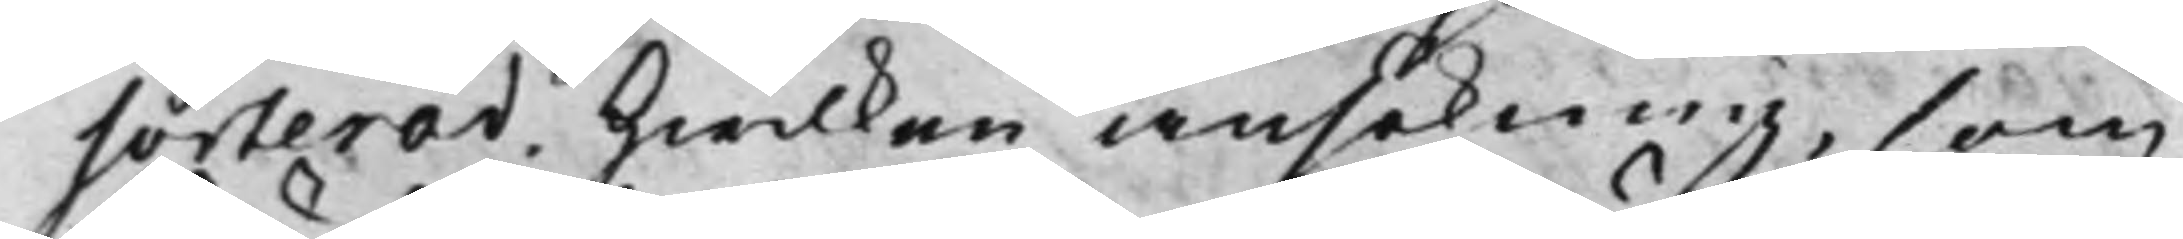sorterad. Hwilken ansökning, som
